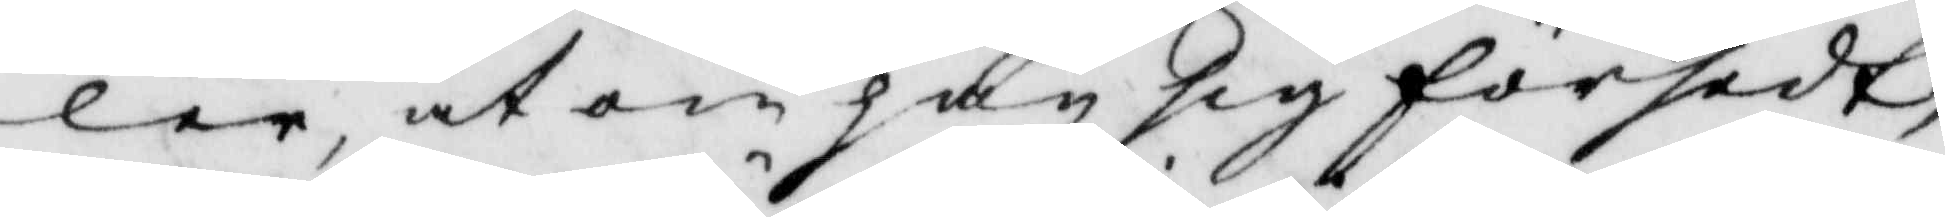ler, at om han sig försedt,
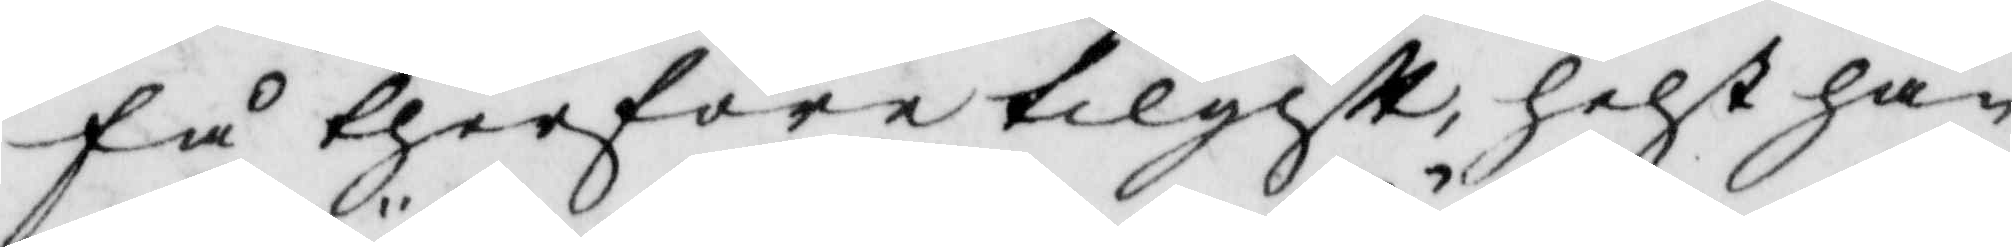få therföre tilgift, helst han
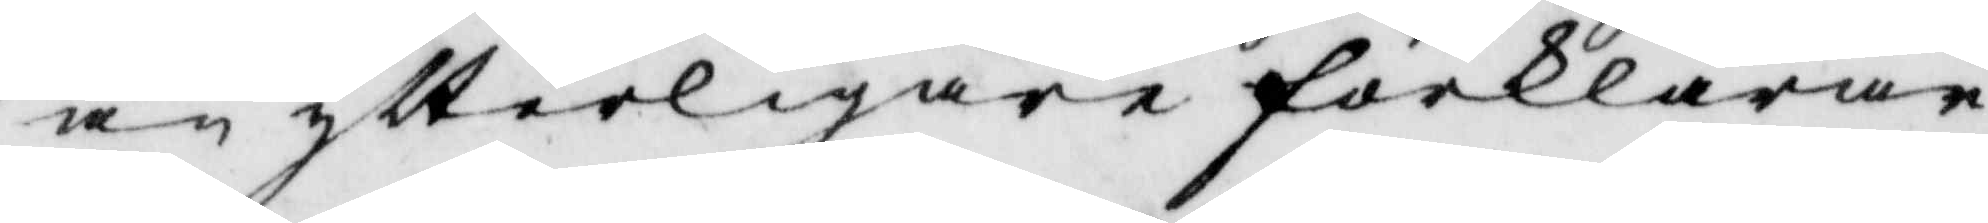än ytterligare förklarar
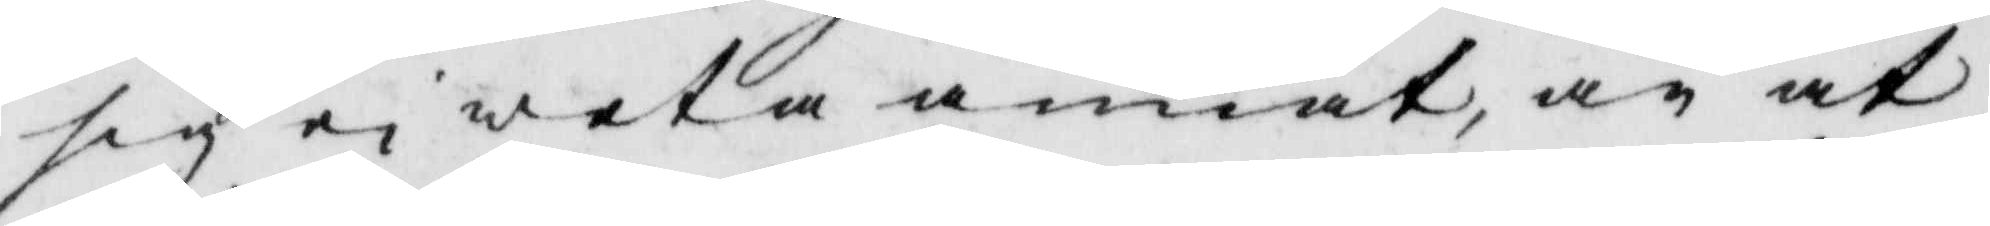sig ei weta annat, än at
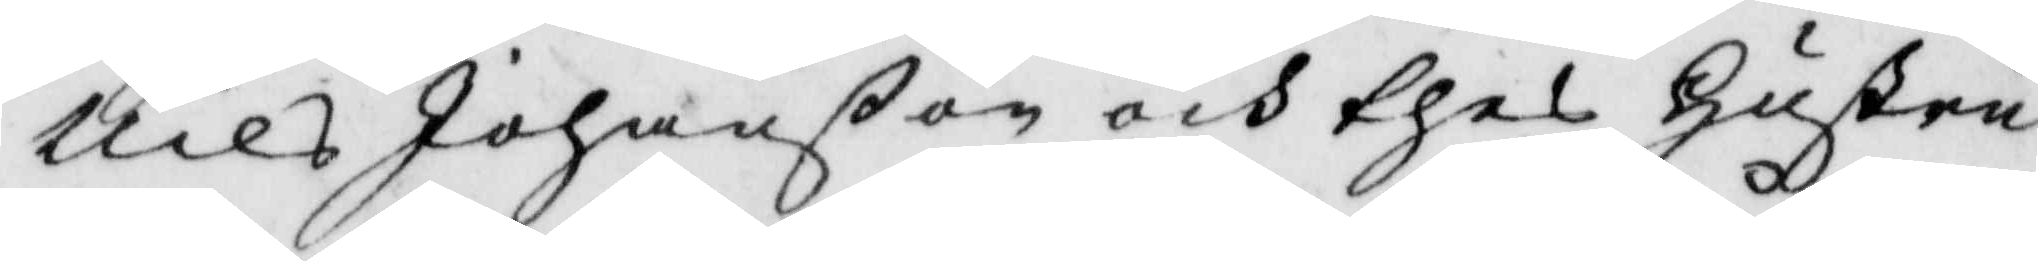Nils Johanßon och thes hustru
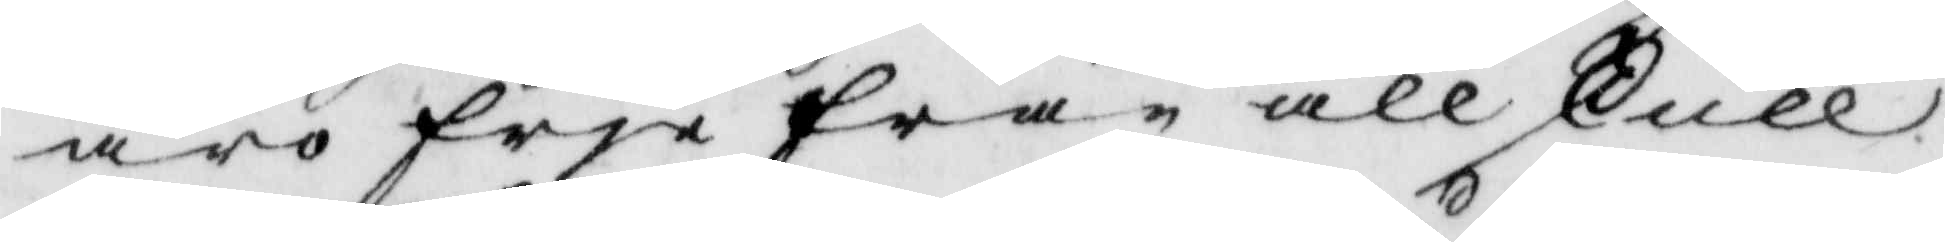äro fria från all skull
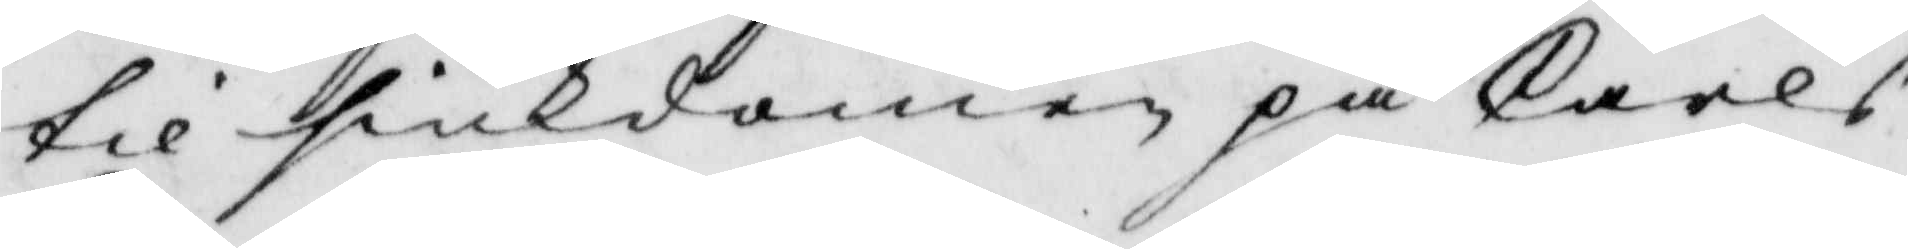til siukdomen på Carls
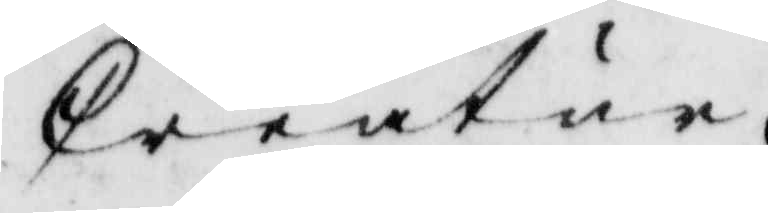Creatur.
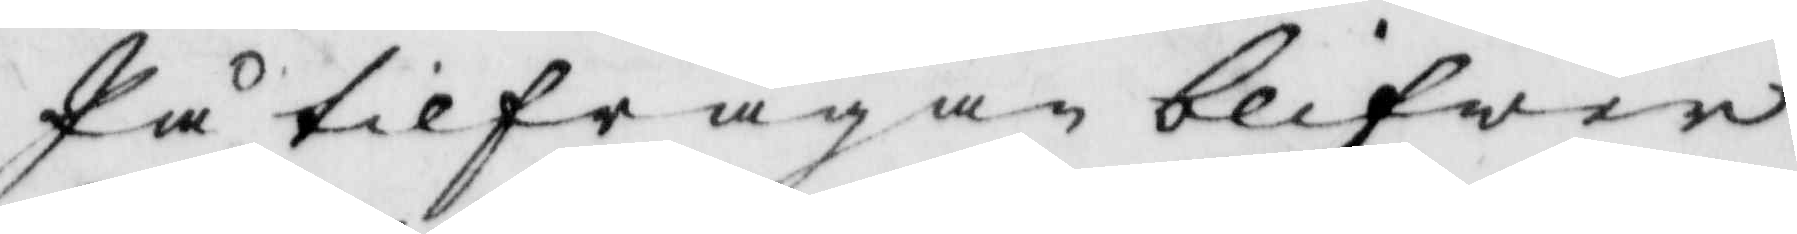På tilfrågan blifwer
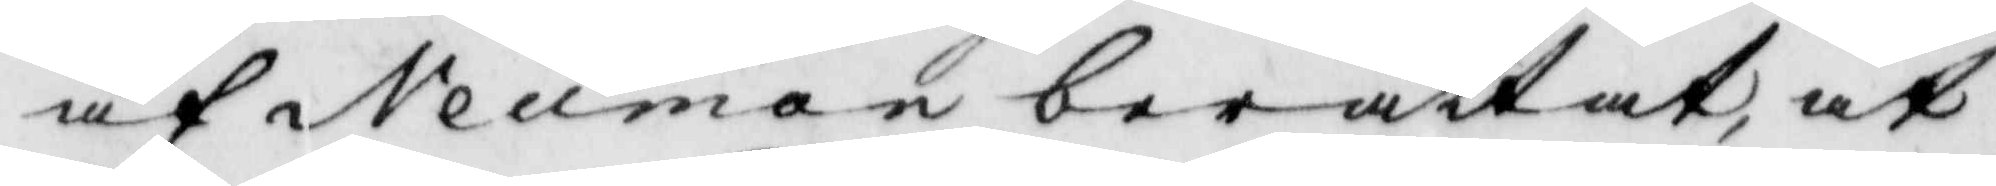af Neuman berättat, at
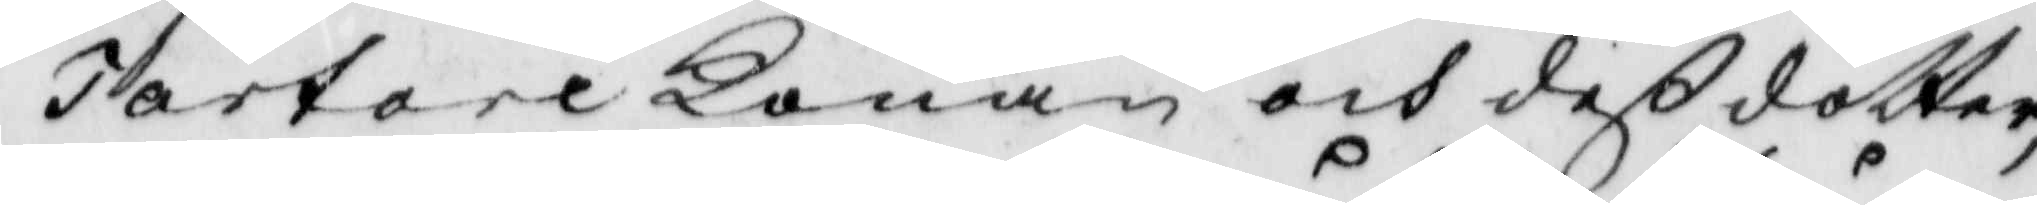Tartare Konan och deß dotter,
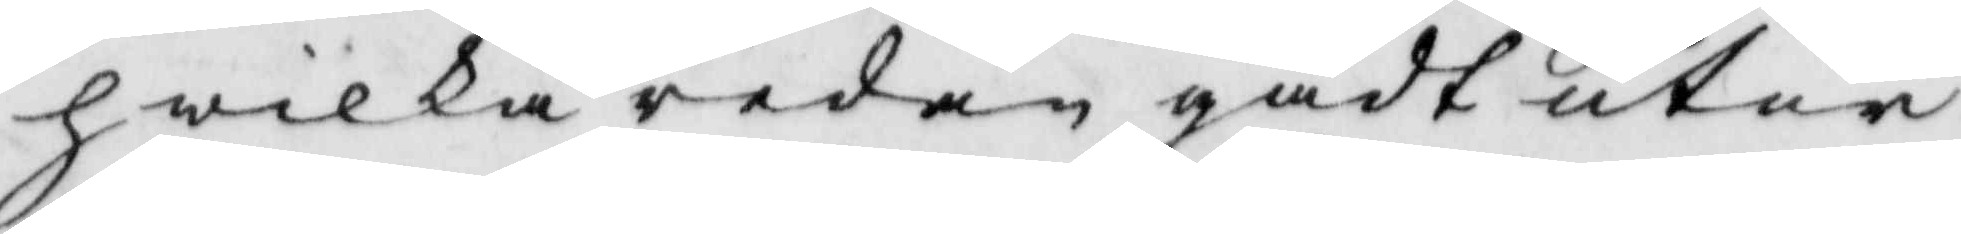hwilka redan gådt utur
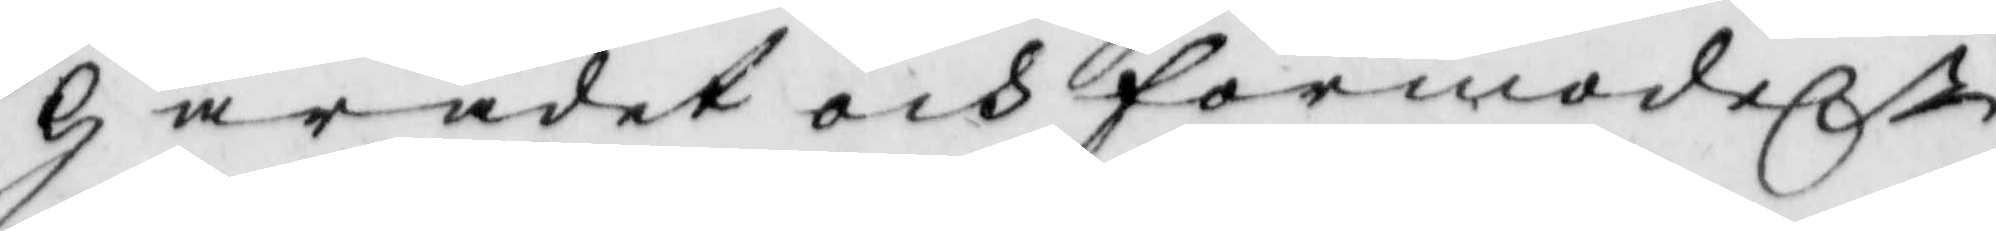Häradet och förmodeln
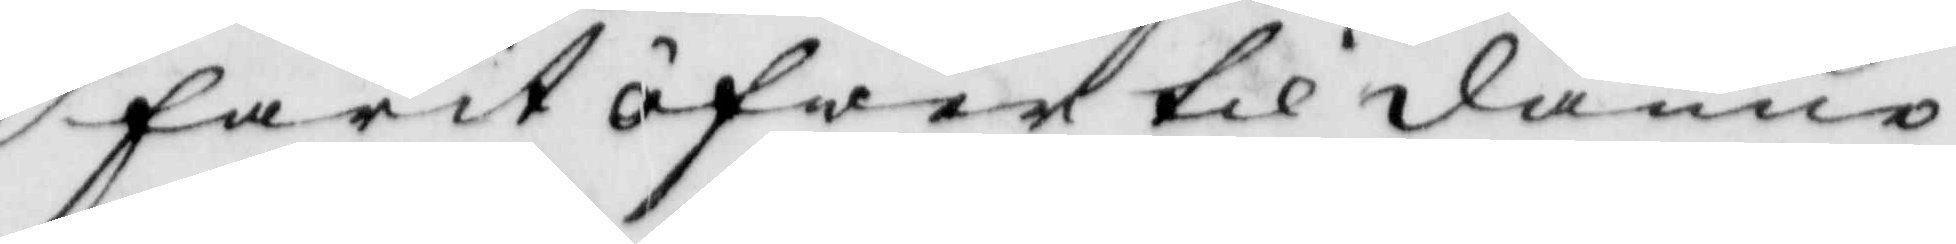farit öfwer till danne¬
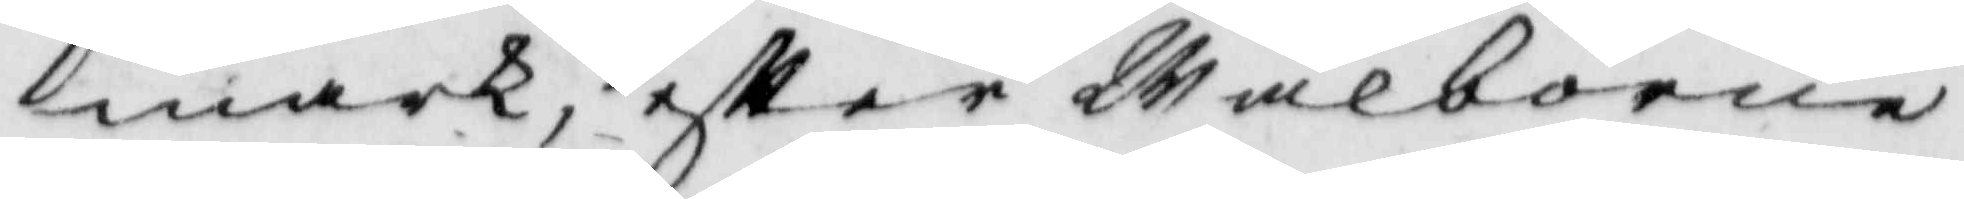mark, eftter Wälborne
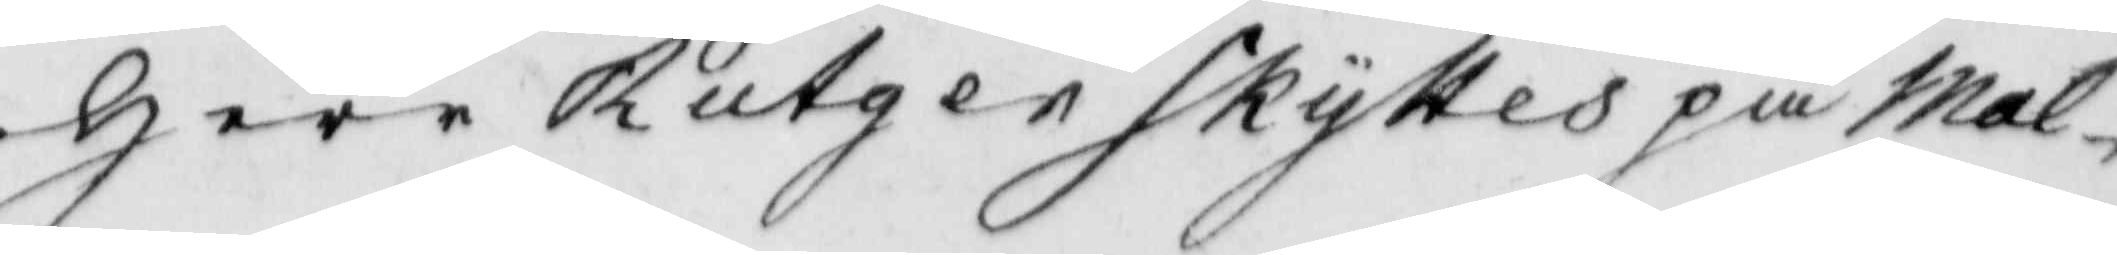Herr Rutger Skyttes på Mal¬
